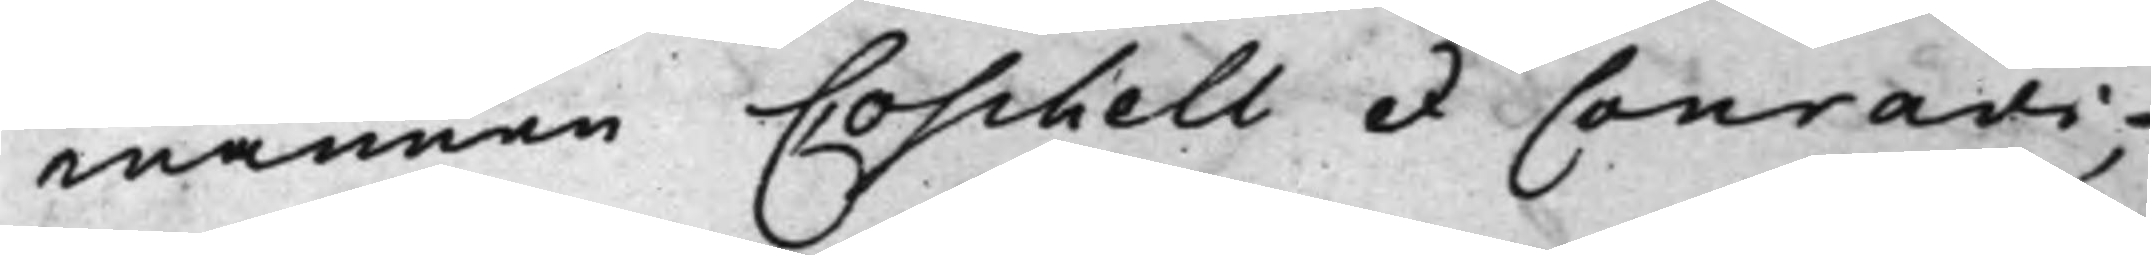männen Coschell et Conradi,
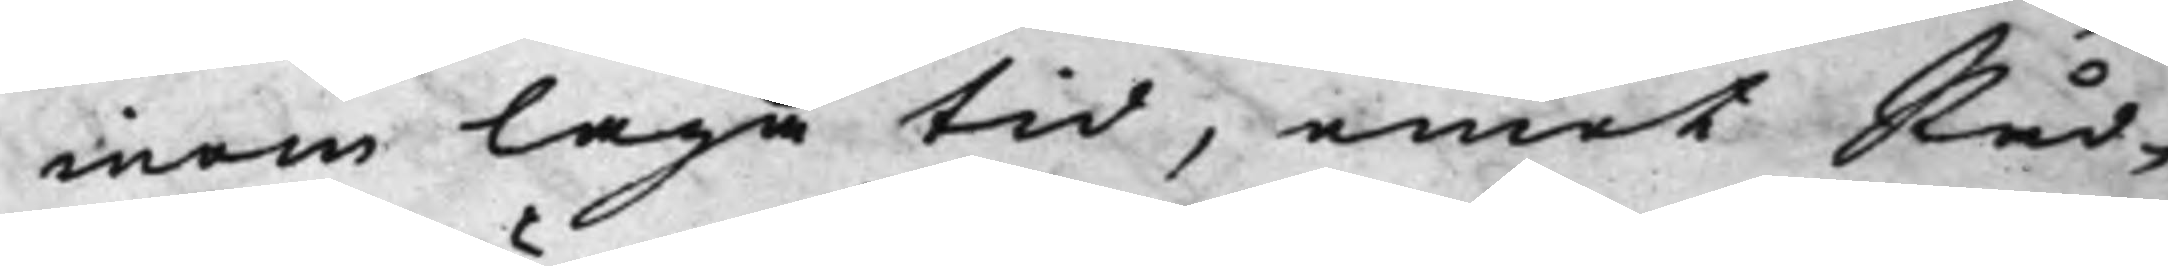inom laga tid, emot Råd¬
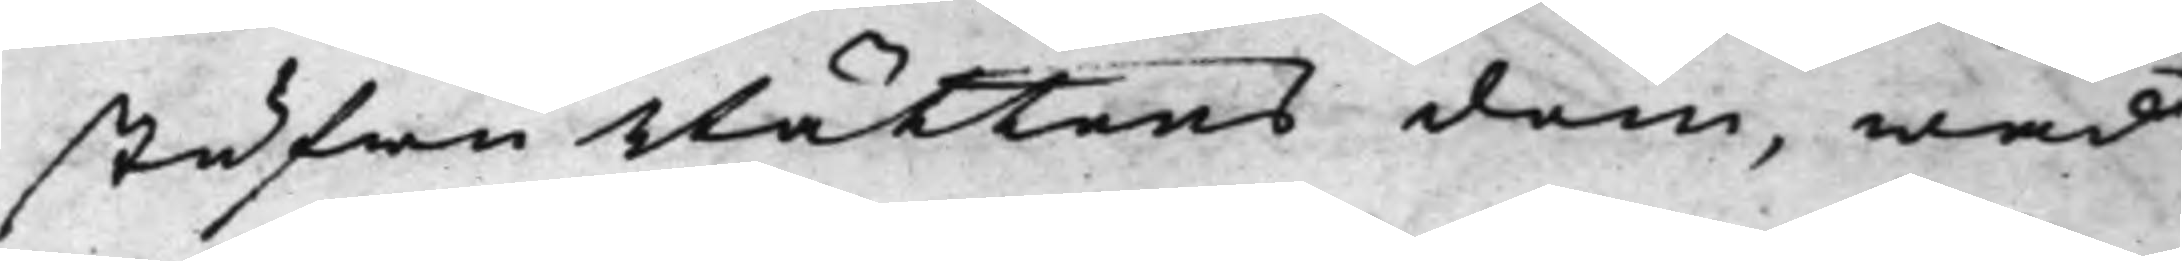stufwuRättens dom, wad
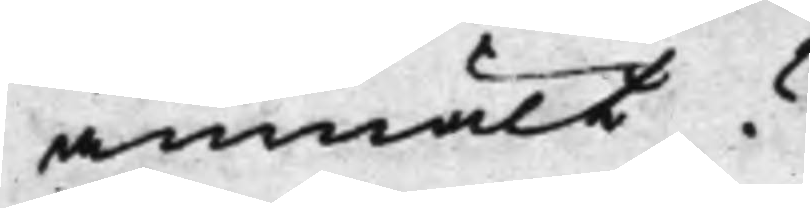anmält?
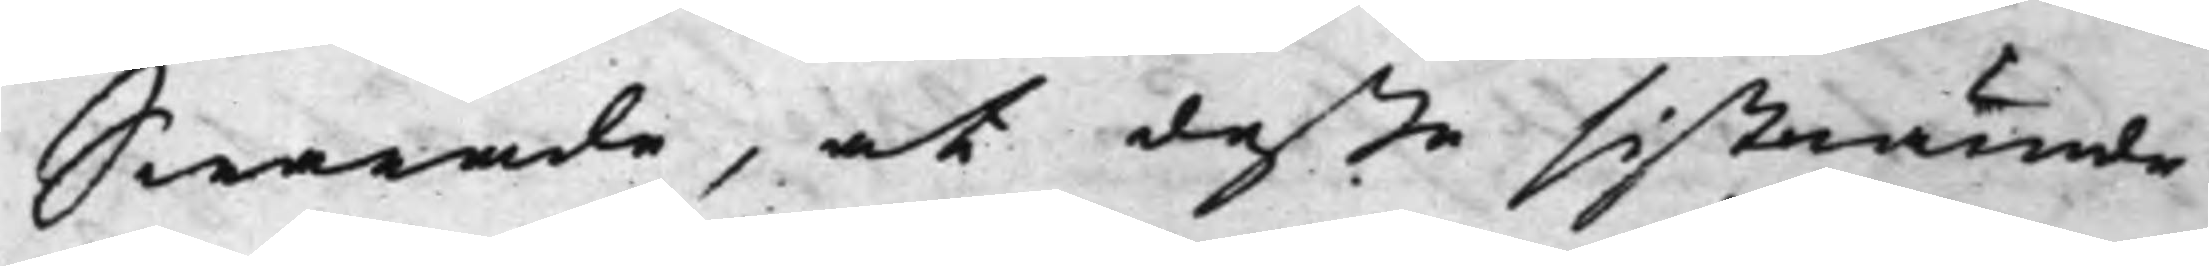Swarade, at deße sistnämde
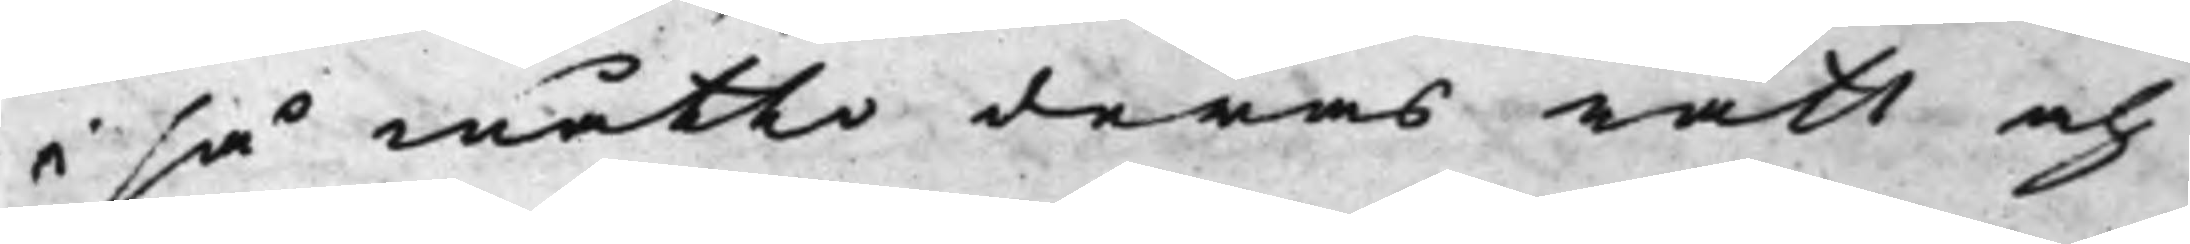i så måtto deras rätt och
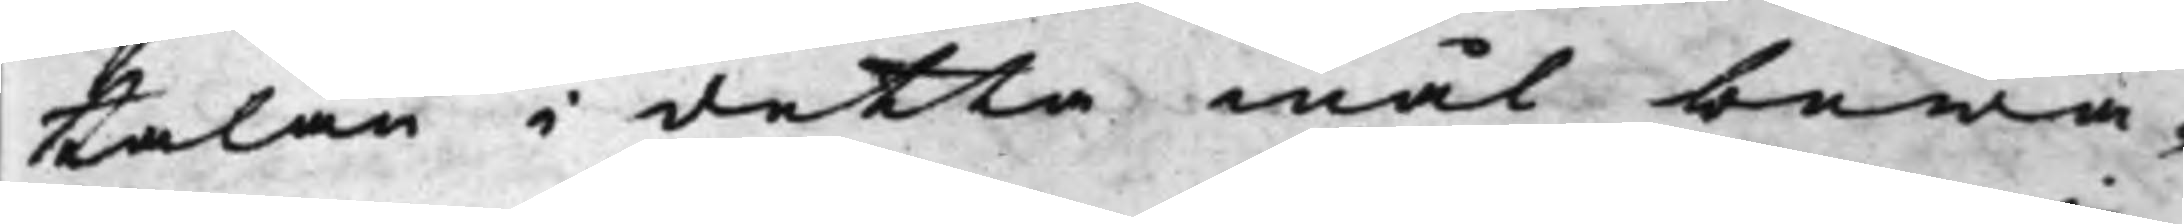talan i detta mål bewa¬
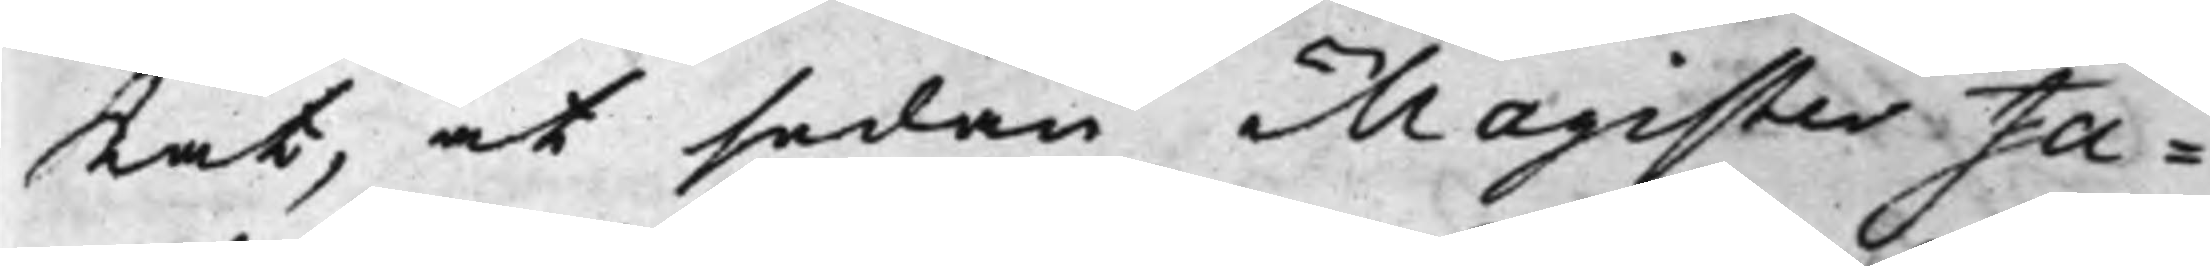Kat, at sedan Magister Ja¬
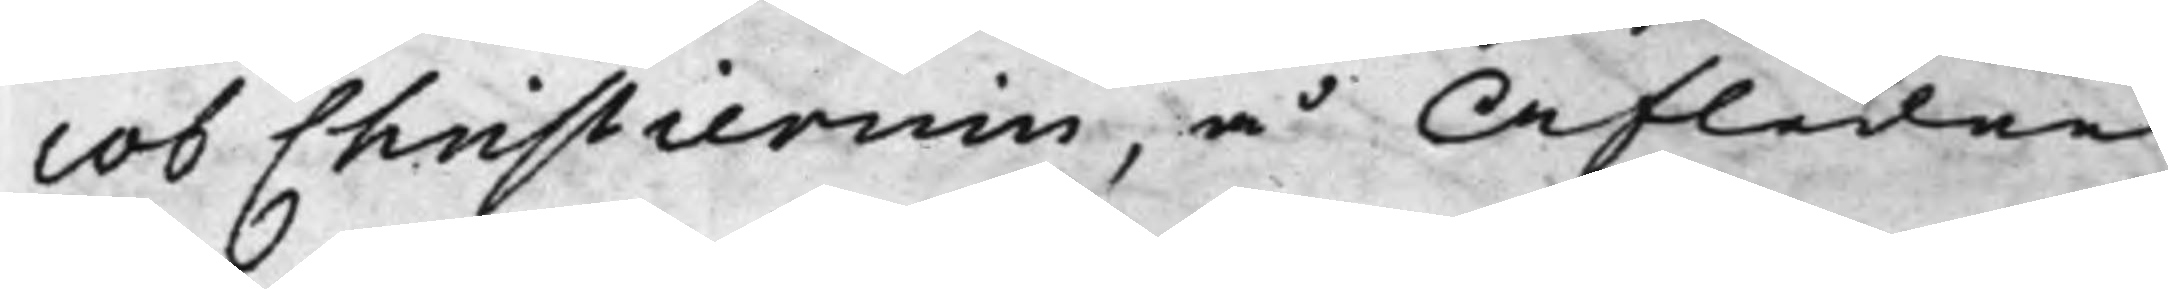cob Christiernin, å Afledne
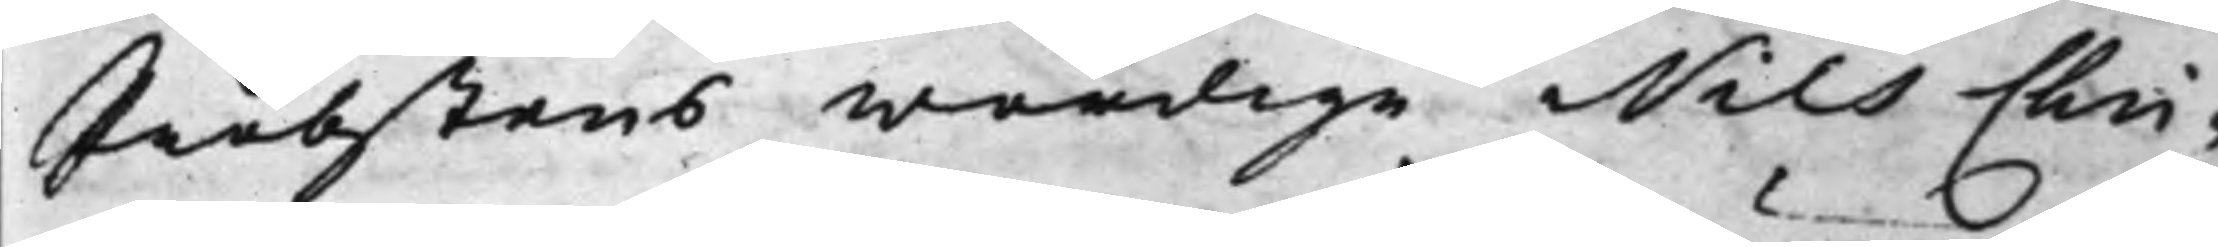Probstens wördige Nils Chri¬
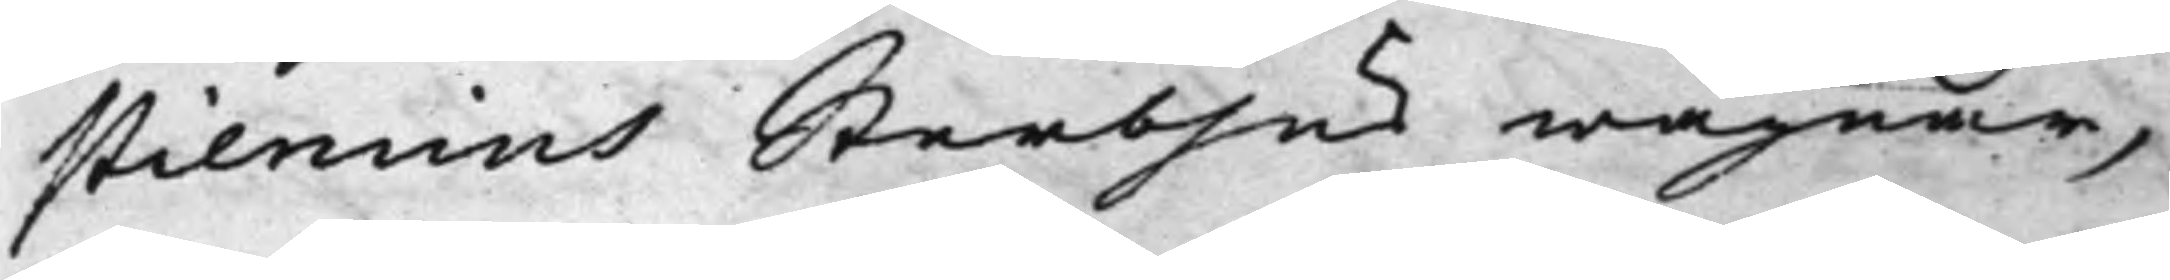stiernins Sterbhus wägnar,
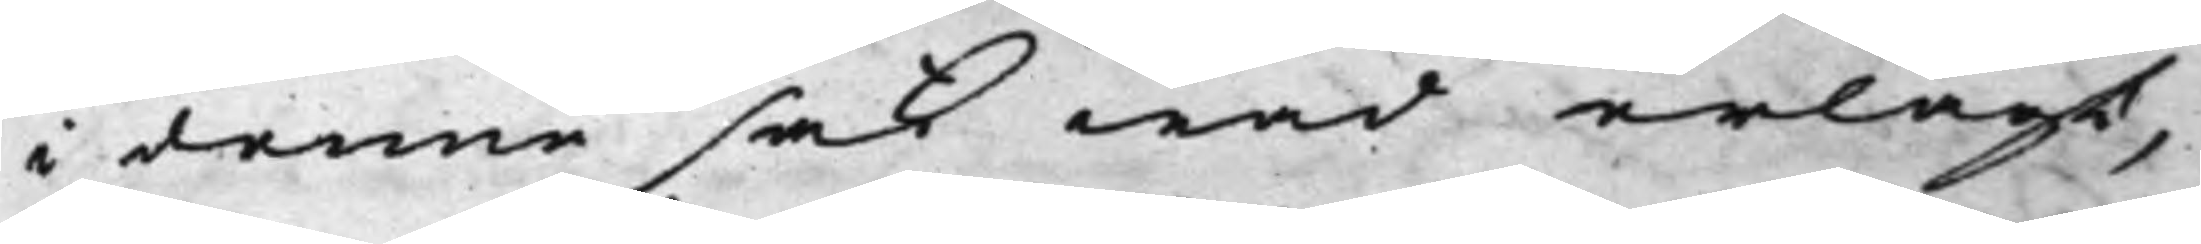i denne sak wad erlagt,
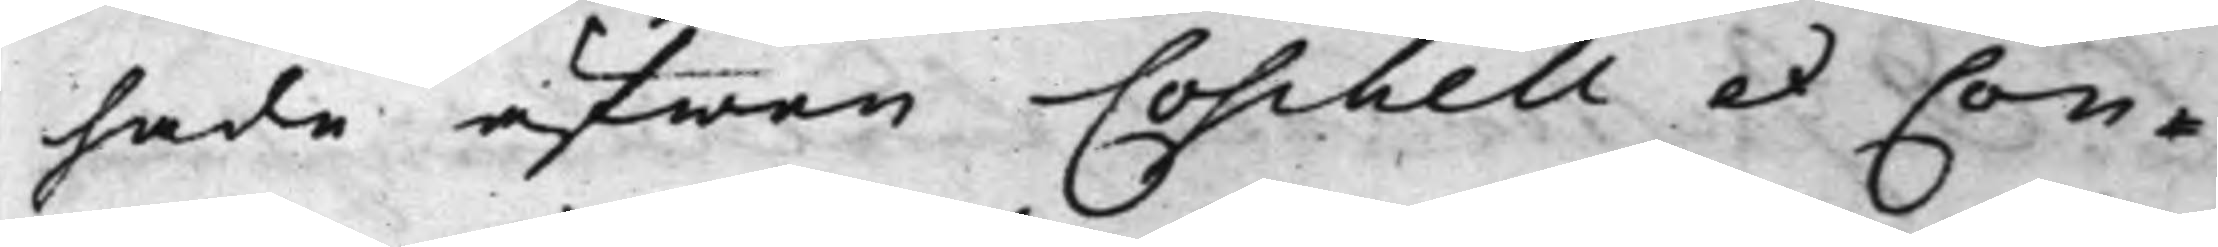hade äfwen Coschell et Con¬
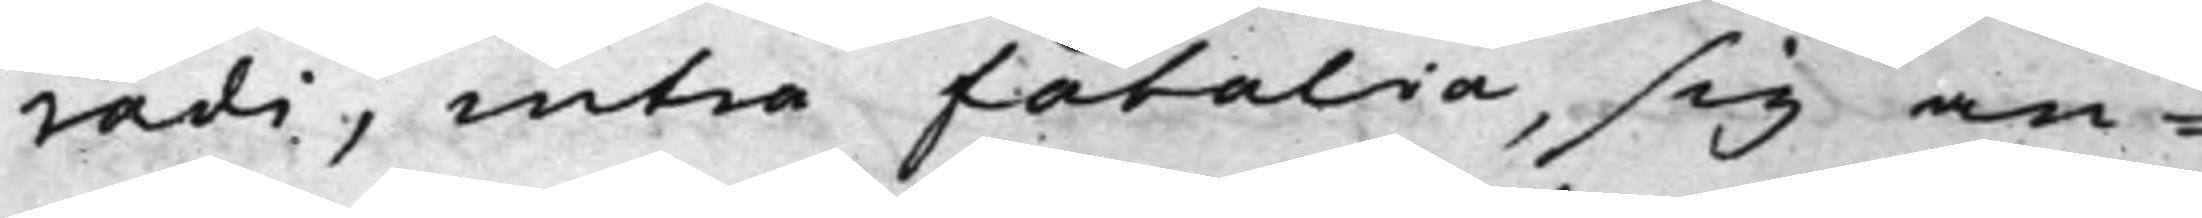radi, intra fatalia, sig an¬
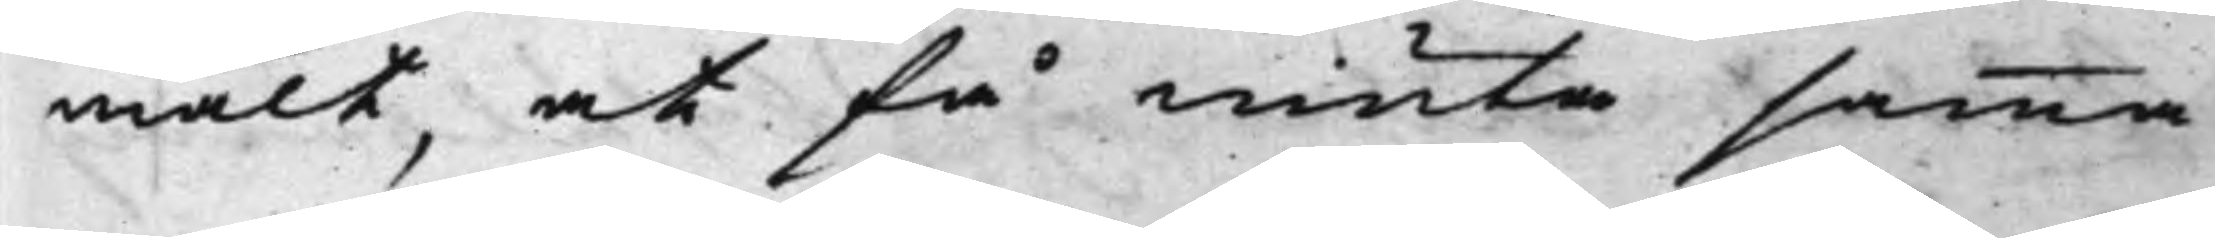mält, at få niuta samma
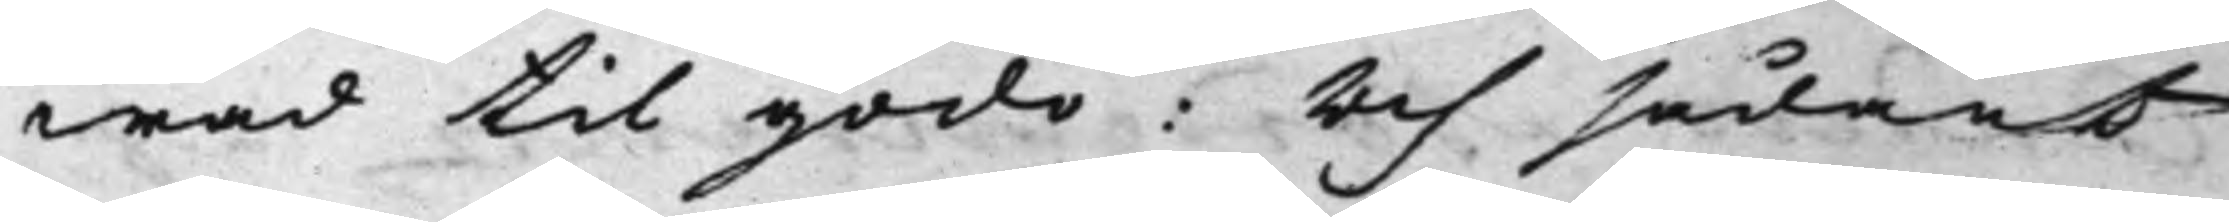wad til godo: Och sådant
